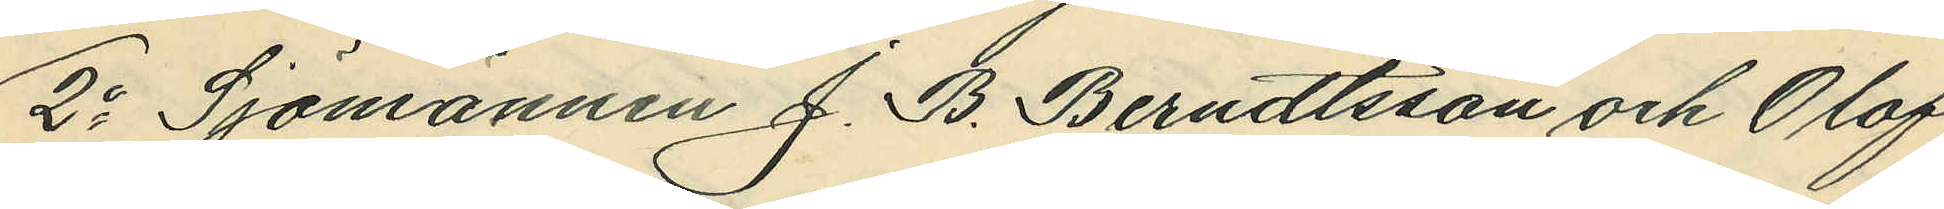2o Sjömannen J. B. Berndtsson och Olof
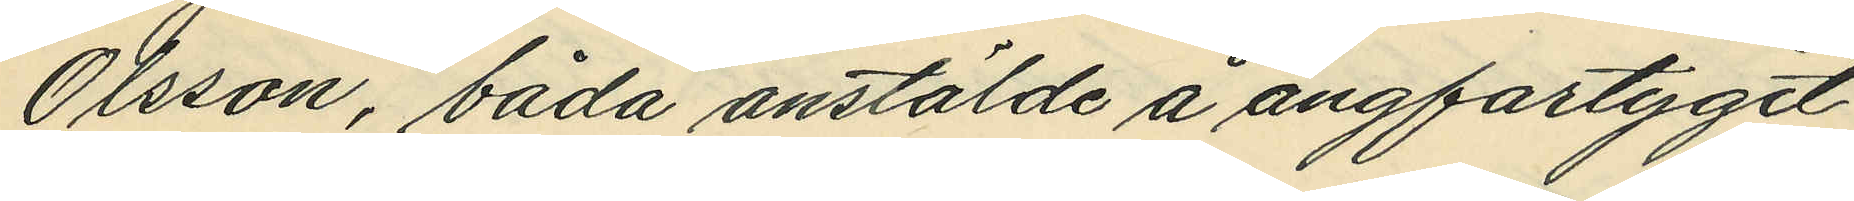Olsson, båda anstälde å angförtyget
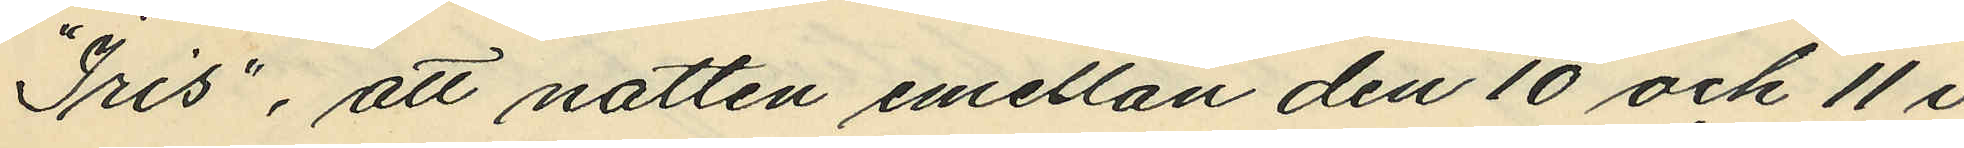"Iris", att natten emellan den 10 och 11 i
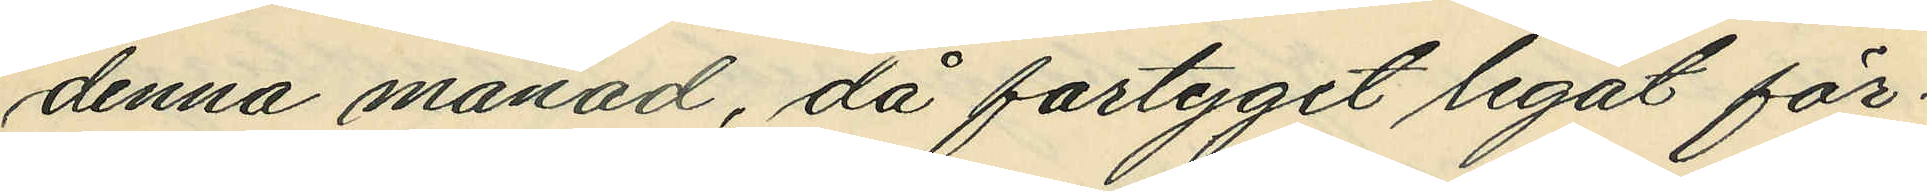denna månad, då fartyget legat för¬
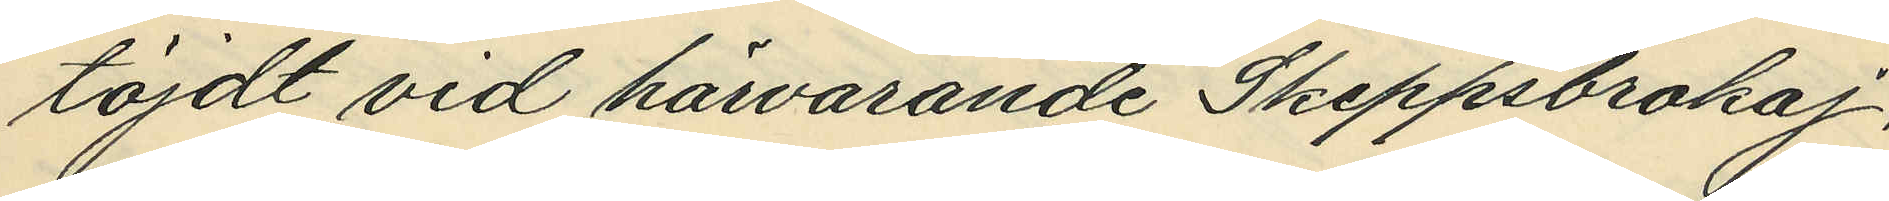töjdt vid härvarande Skeppsbrokaj,
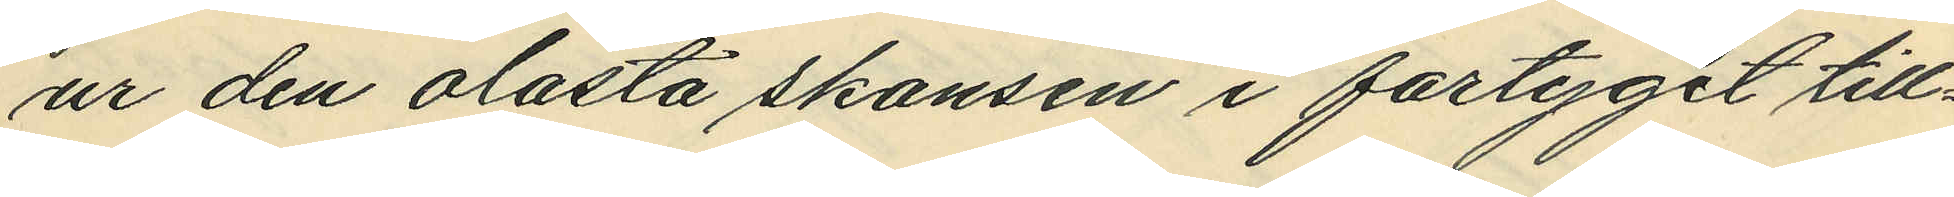ur den olåsta skansen i fartyget till¬
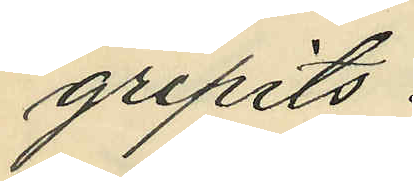gripits:
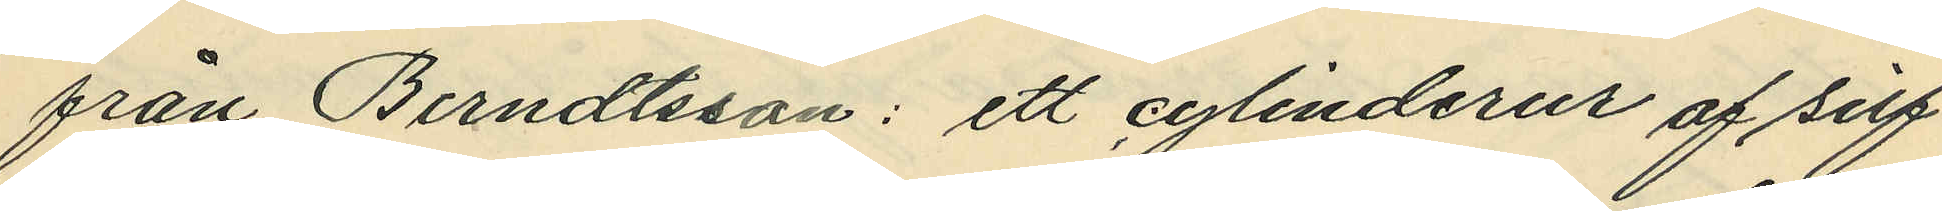från Berndtsson: ett cylinderur af silf¬
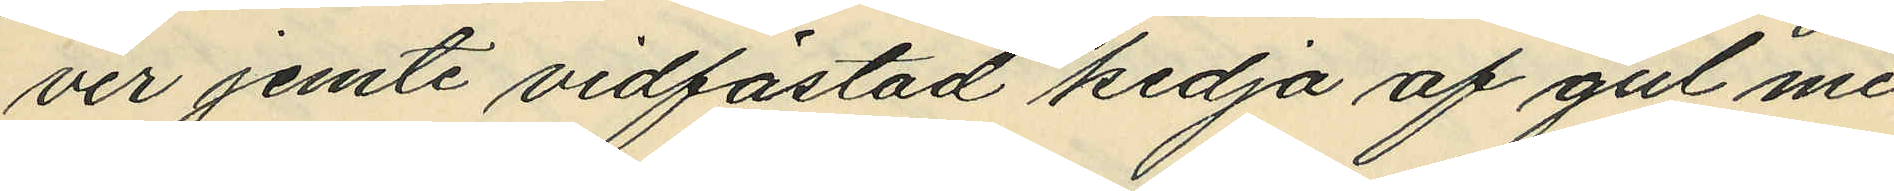ver jemte vidfästad kedja af gul me¬
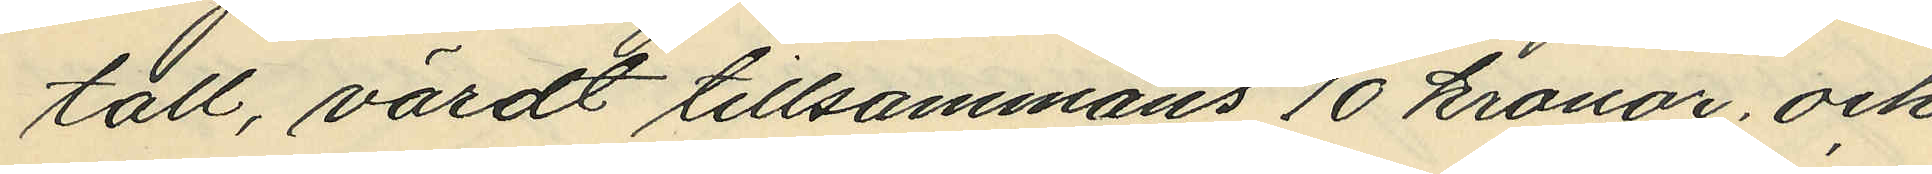tall, värdt tillsammans 10 kronor, och
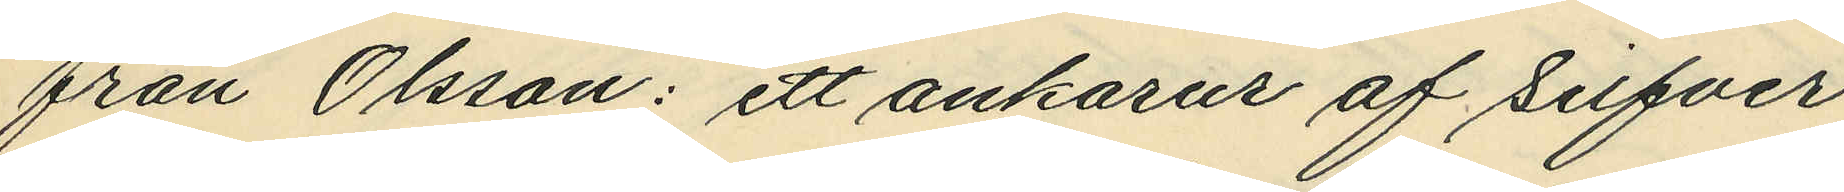från Olsson: ett ankarur af Silfver
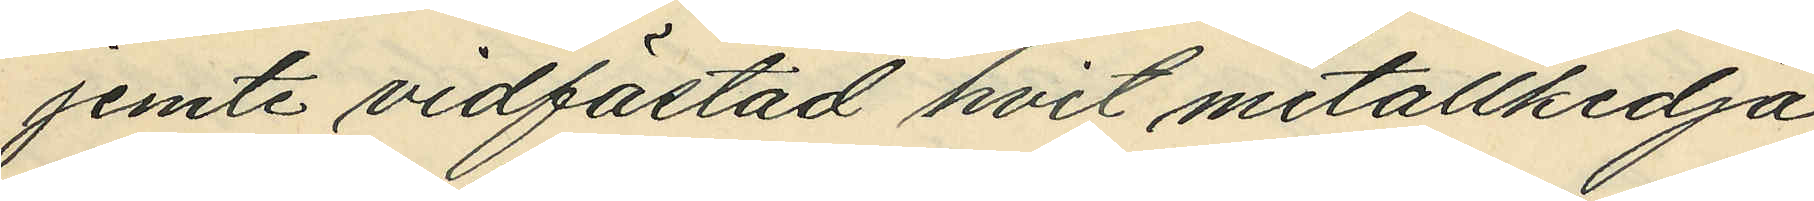jemte vidfästad hvit metallkedja
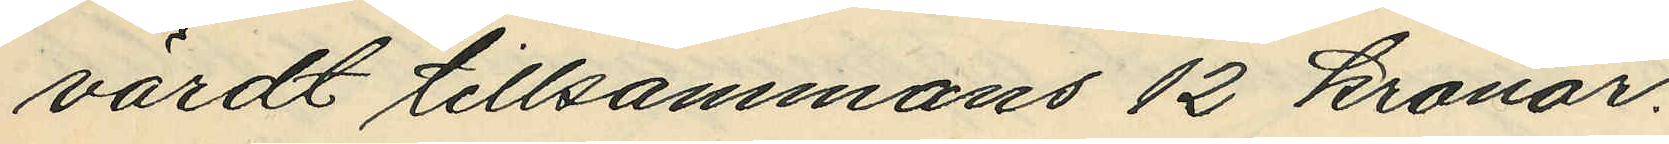värdt tillsammans 12 kronor.
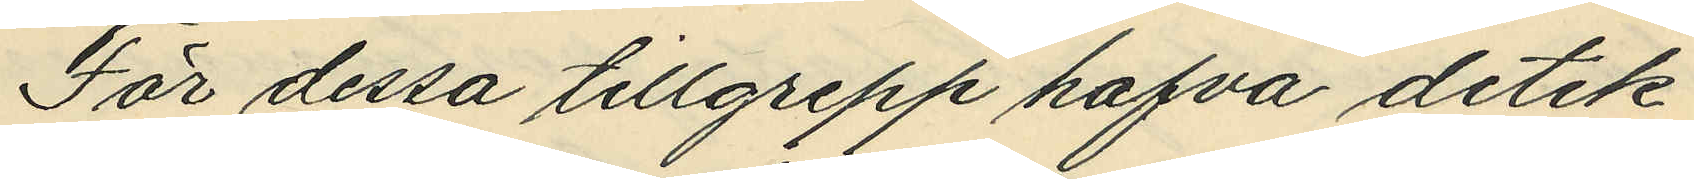För dessa tillgrepp hafva detek¬
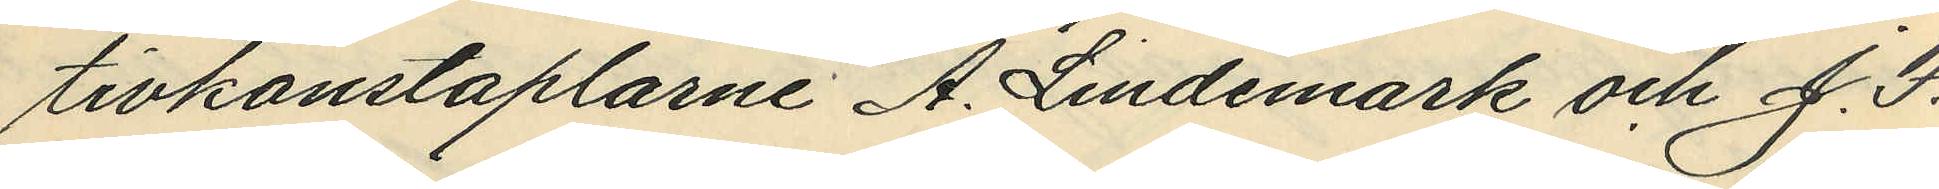tivkonstaplarne A. Lindemark och J. F.
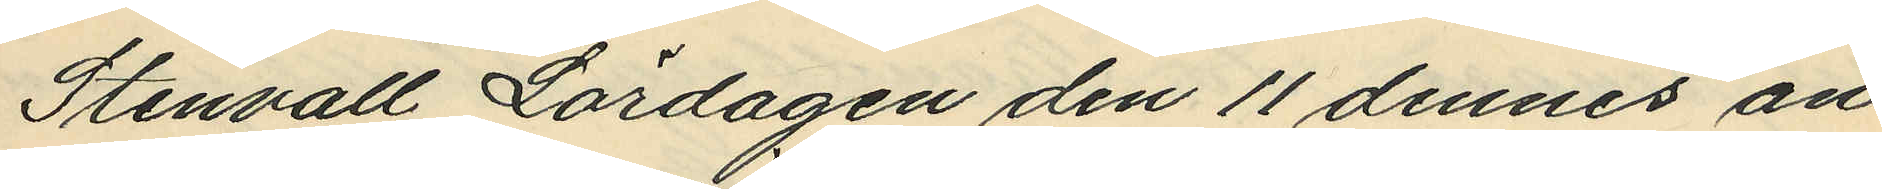Stenvall Lördagen den 11 dennes an¬
